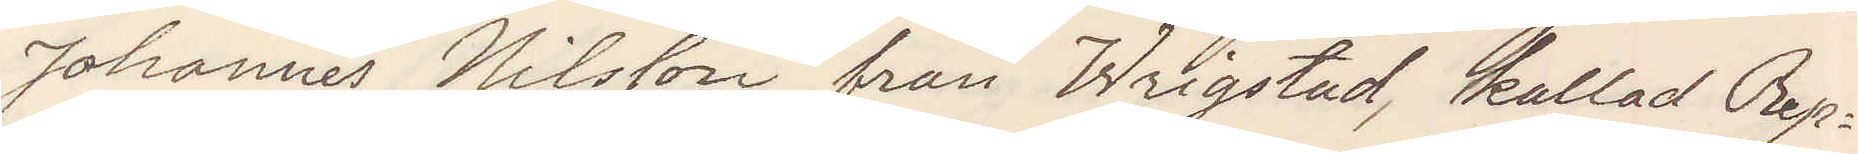Johannes Nilsson från Wrigstad, kallad Rep¬
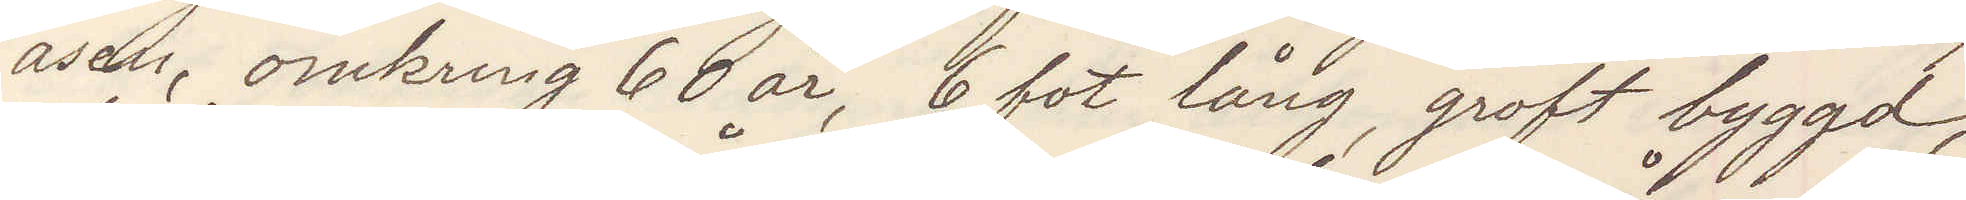åsen, omkring 60 år, 6 fot lång, groft byggd,
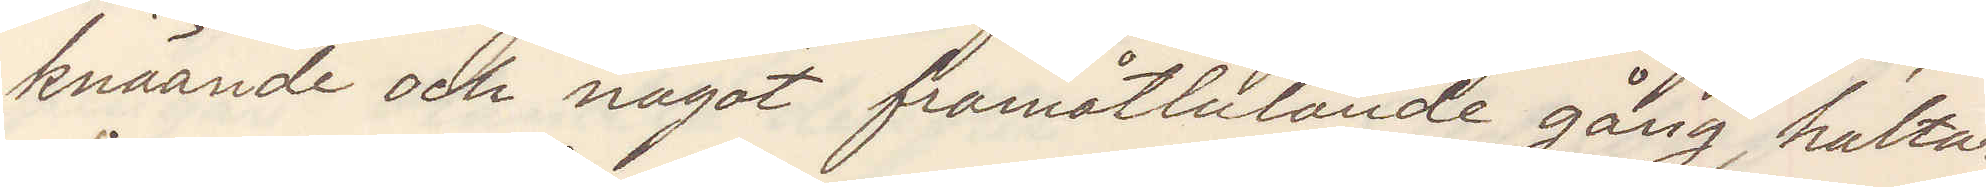knäande och något framåtlutande gång, haltar
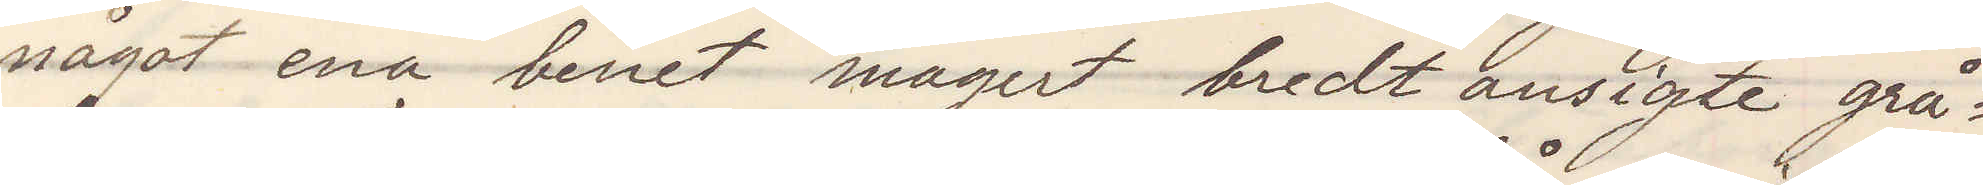något ena benet magert bredt ansigte grå¬
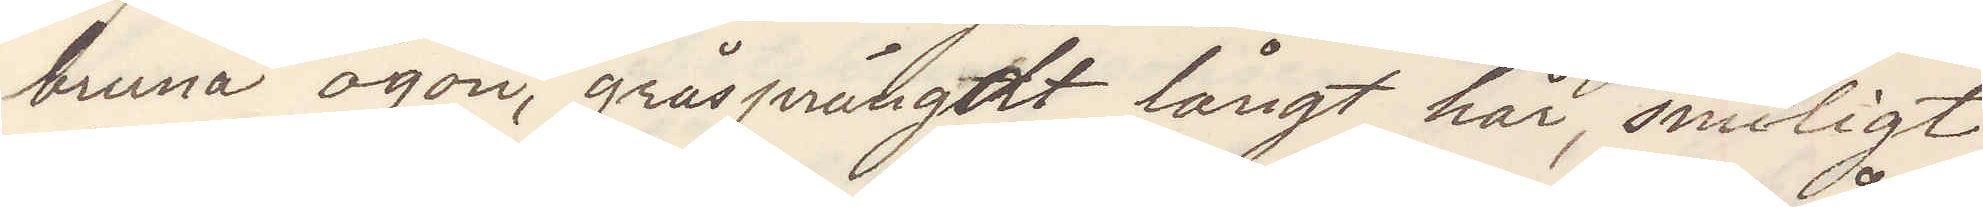bruna ögon, gråsprängdt långt hår, smiligt
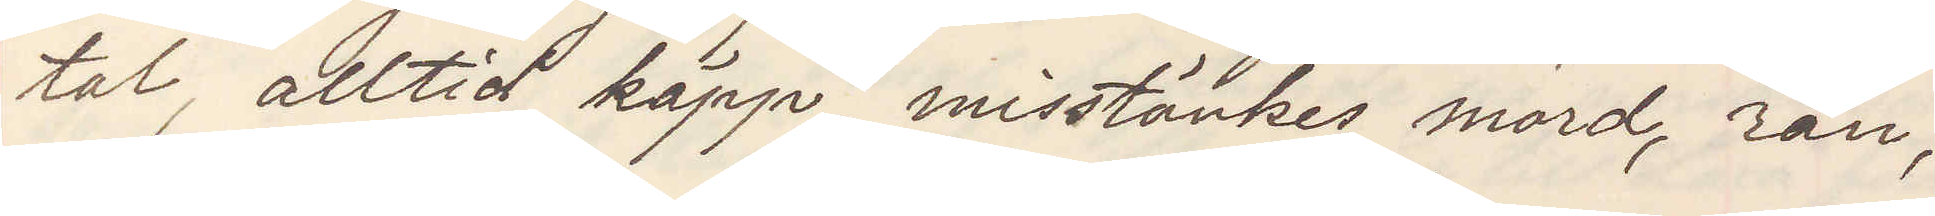tal, alltid käpp, misstänkes mord, rån,
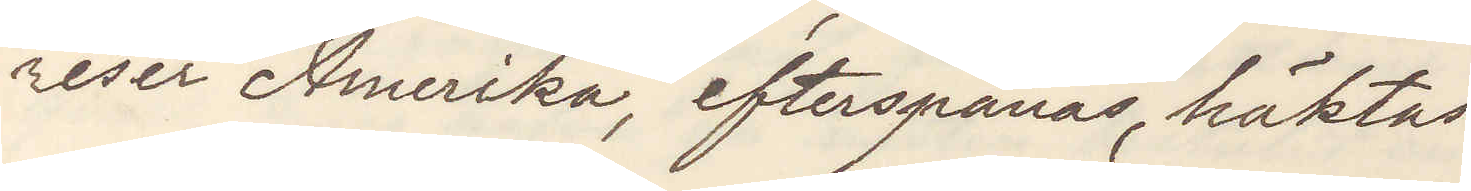reser Amerika, efterspanas, häktas.
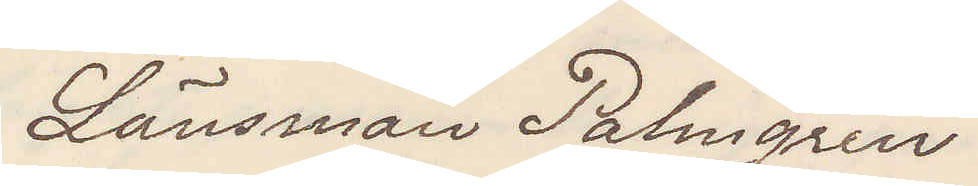Länsman Palmgren
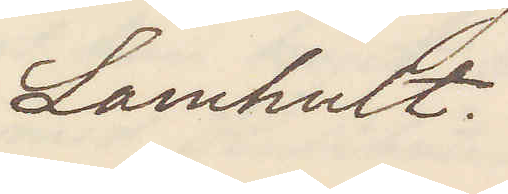Lamhult.
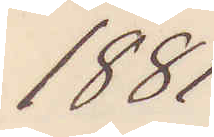1881
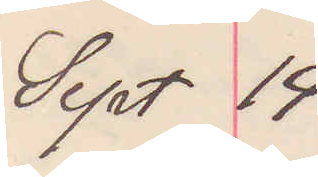Sept 14
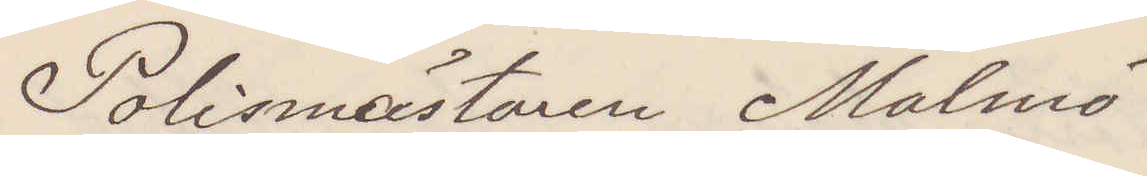Polismästaren Malmö
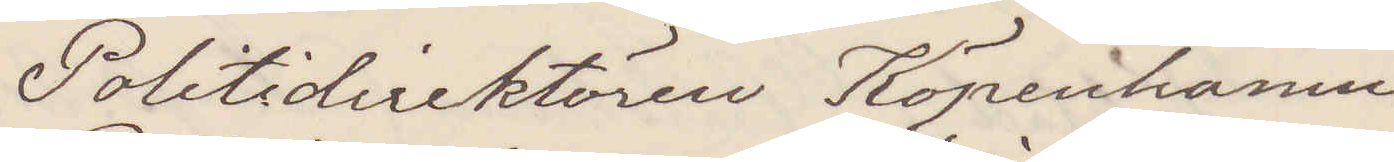Politidirektören Köpenhamn
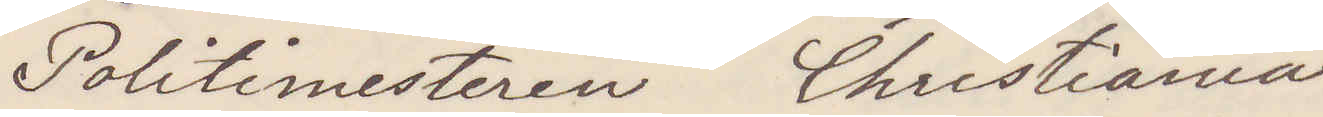Politimesteren Christiania
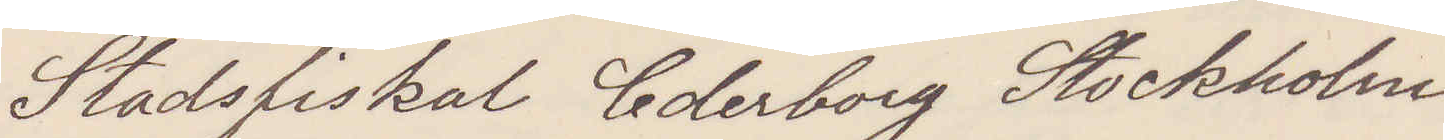Stadsfiskal Cederborg Stockholm
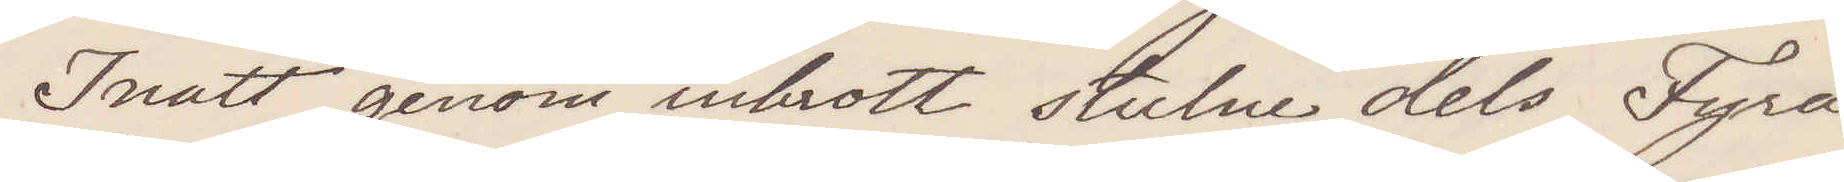Inatt genom inbrott stulne dels Fyra
